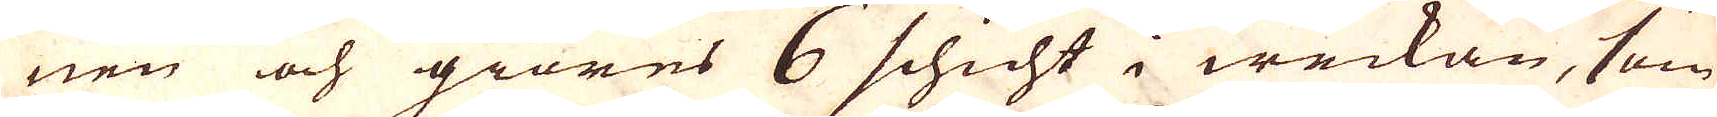nen och giöres 6 schicht i weckan, som
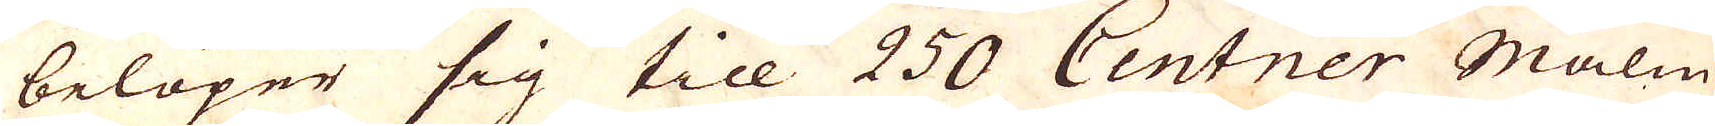belöper sig till 250 Centner Malm
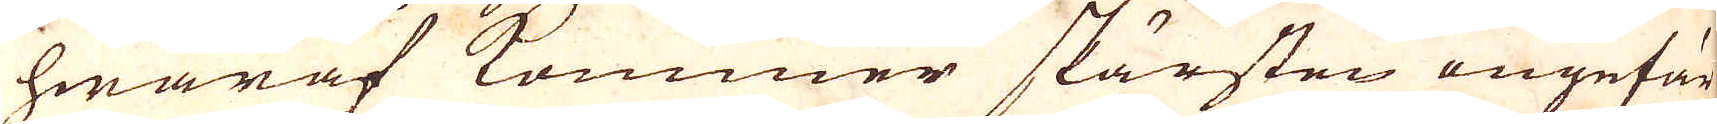hwaraf kommer skärsten ungefär
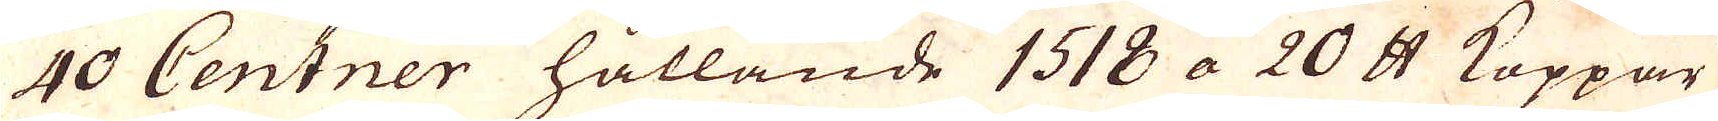40 Centner hållande 1518 a 20 skålpund Koppar
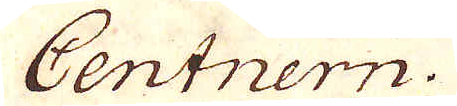Centnern.
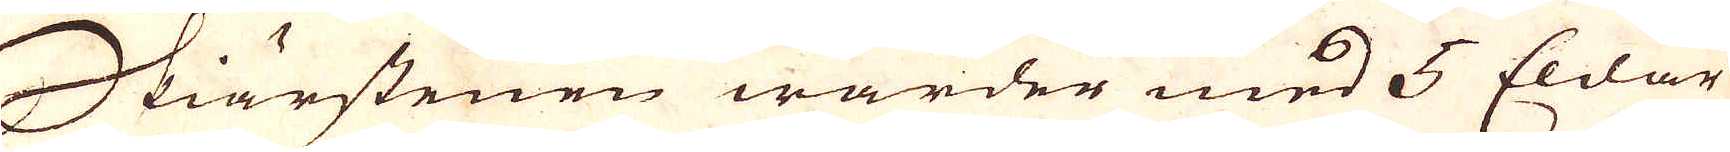Skiärstenen warder med 5 Eldar
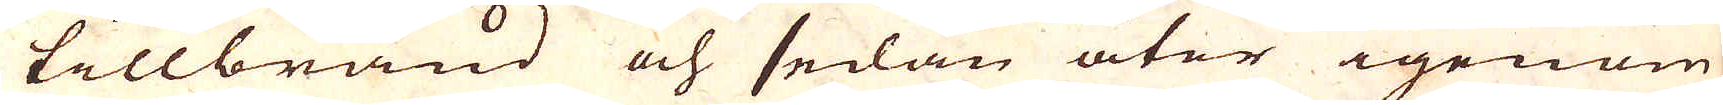tillbränd och sedan åter igenom
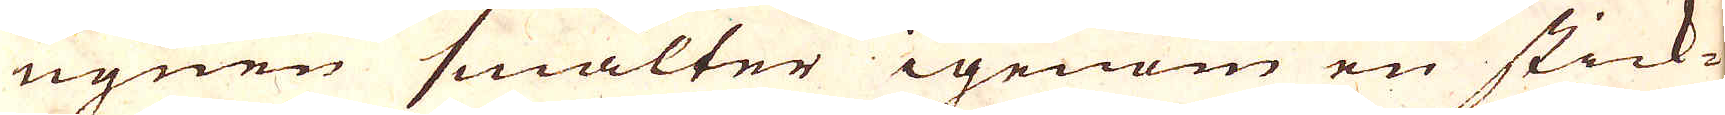ugnen smälter igenom en stick-
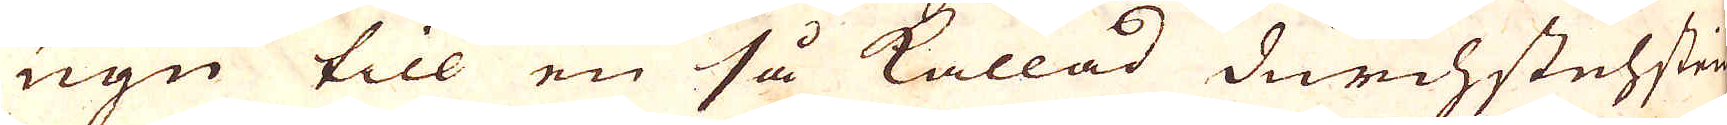ugn till en så kallad durchstehstein
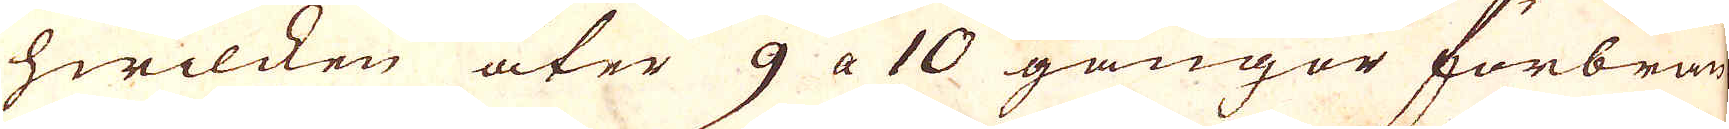hwilcken åter 9 a 10 gångor förbrän-
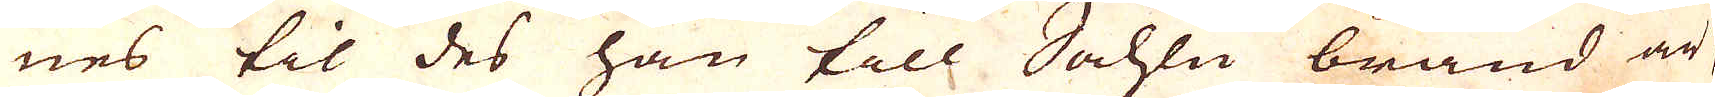nes til des han till Sahlu bränd är,
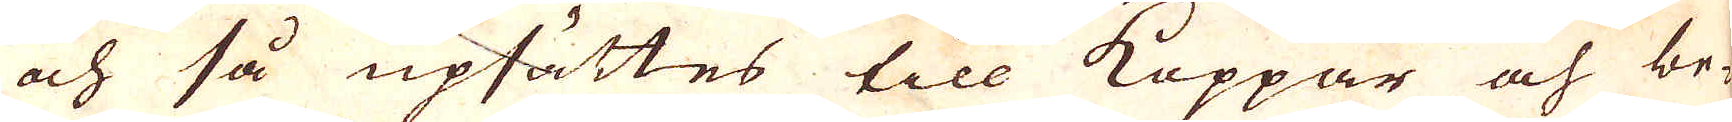och så upsättes till Koppar och be-
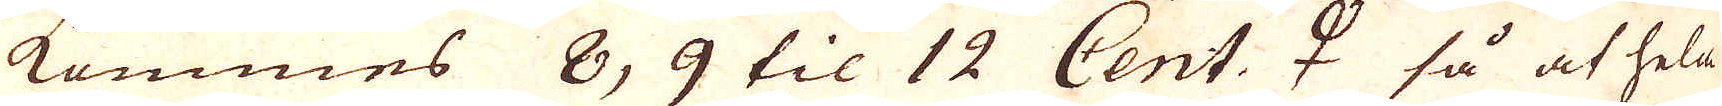kommes 8, 9 til 12 Cent. ♀ 2 så at hela
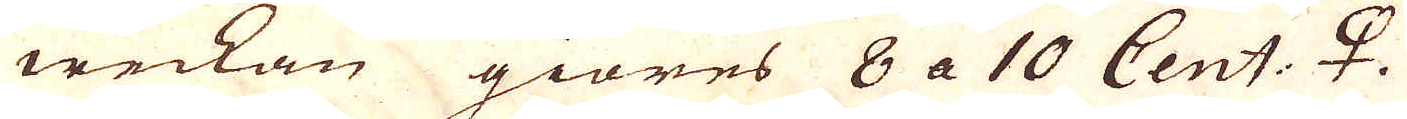weckan giöres 8 a 10 Cent: ♀.
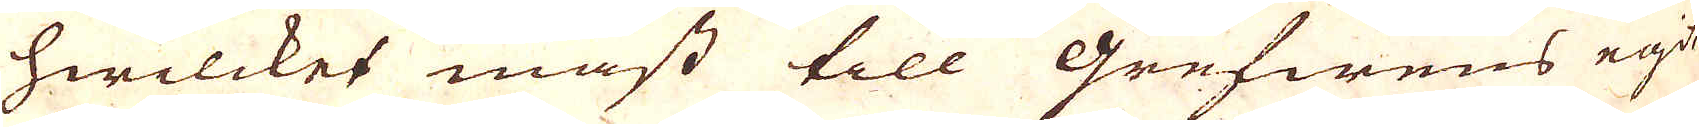hwilcket mäst till grefwens egit
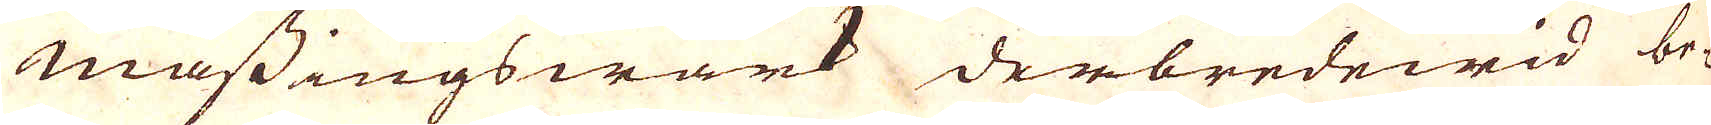mässingswärk derbredewid be-
